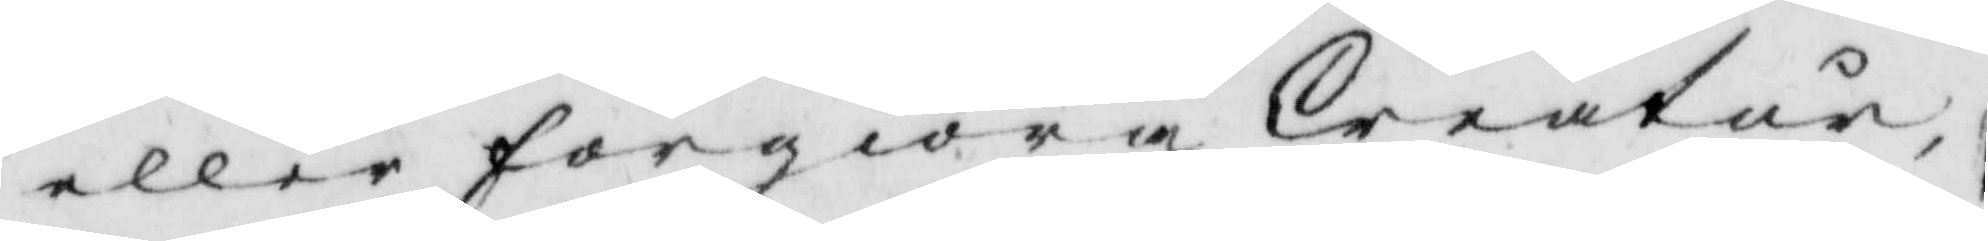eller förgiöra Creatur,
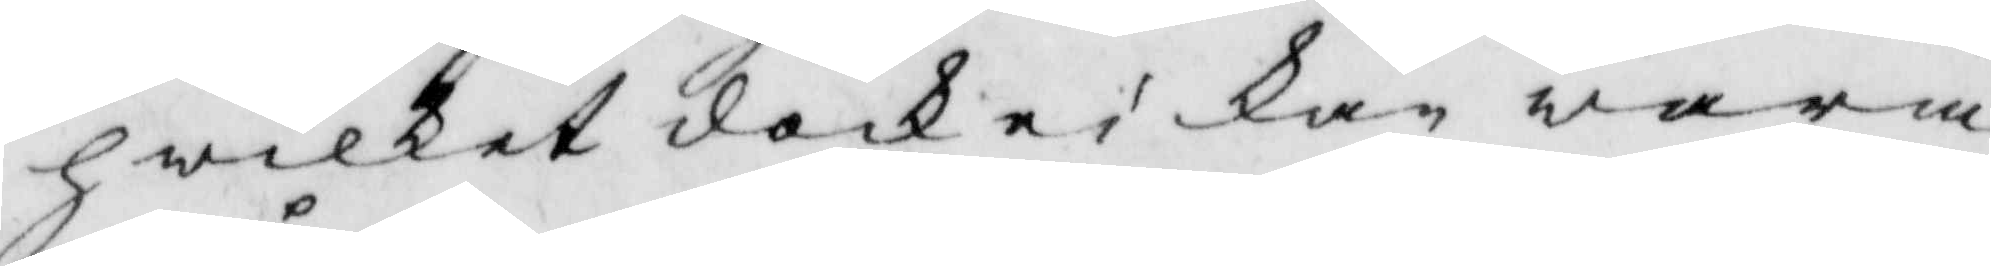hwilket dock ei kan wara
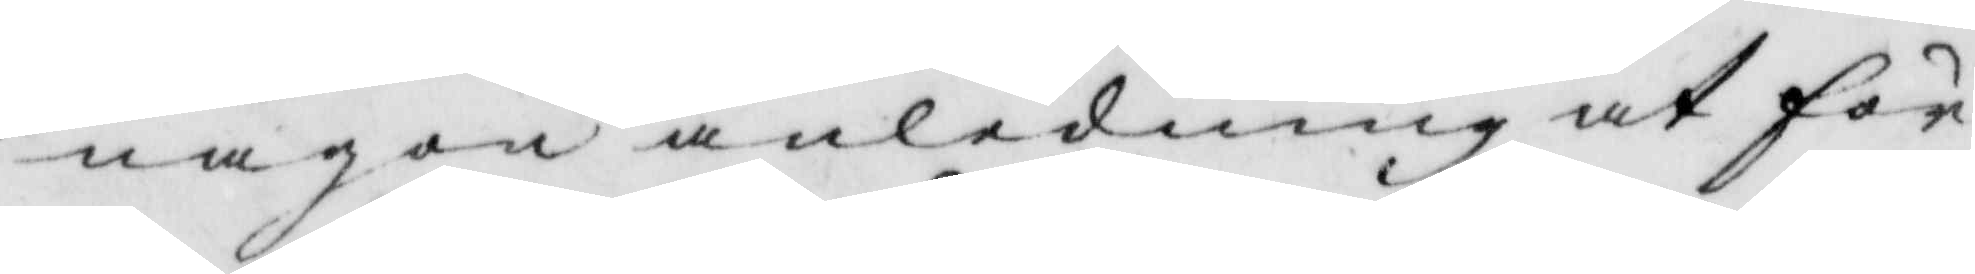någon anledning at för¬
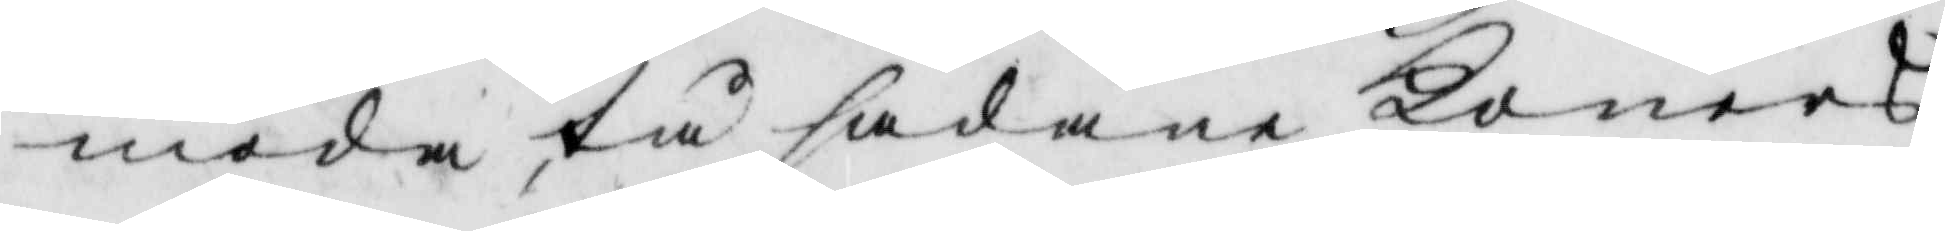moda tå sådane Koners
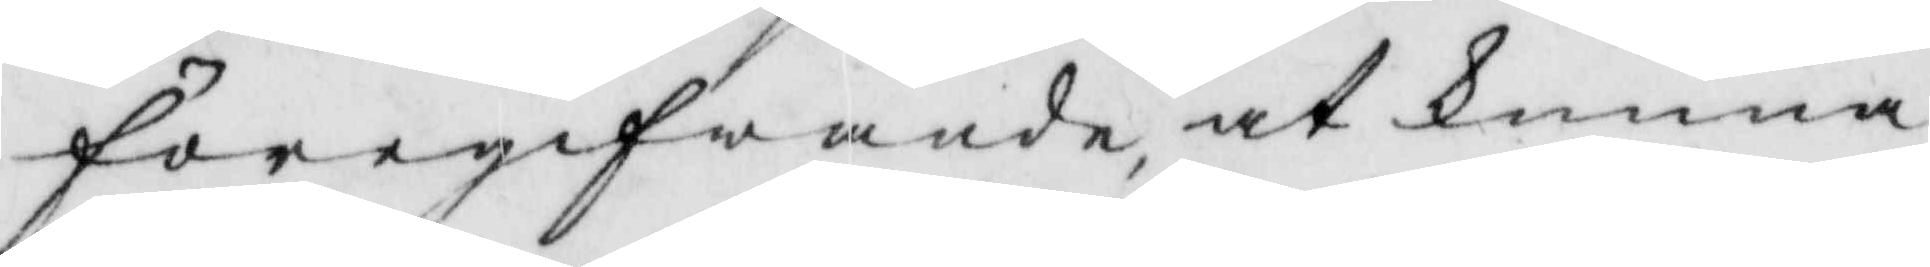föregifwande, at kunna
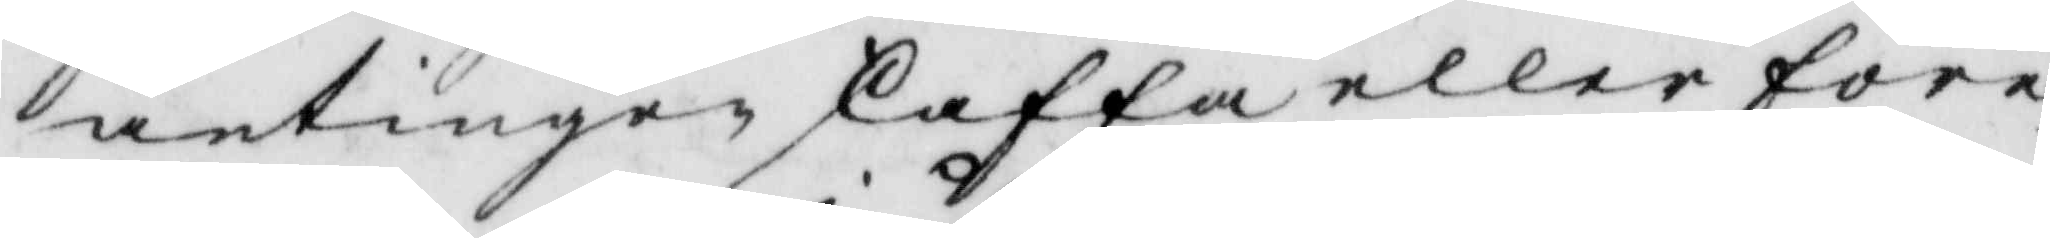antingen skaffa eller före¬
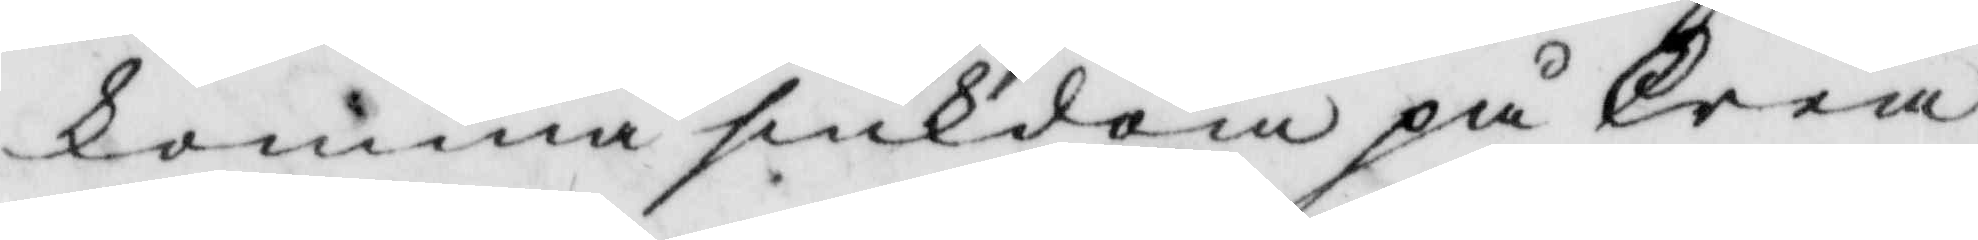komma siukdom på Crea¬
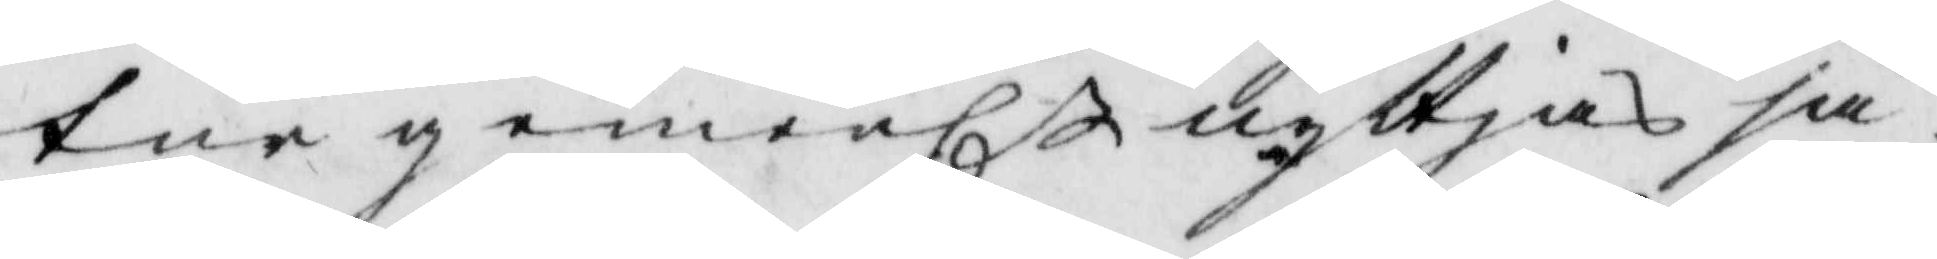tur gemenl nyttja ju
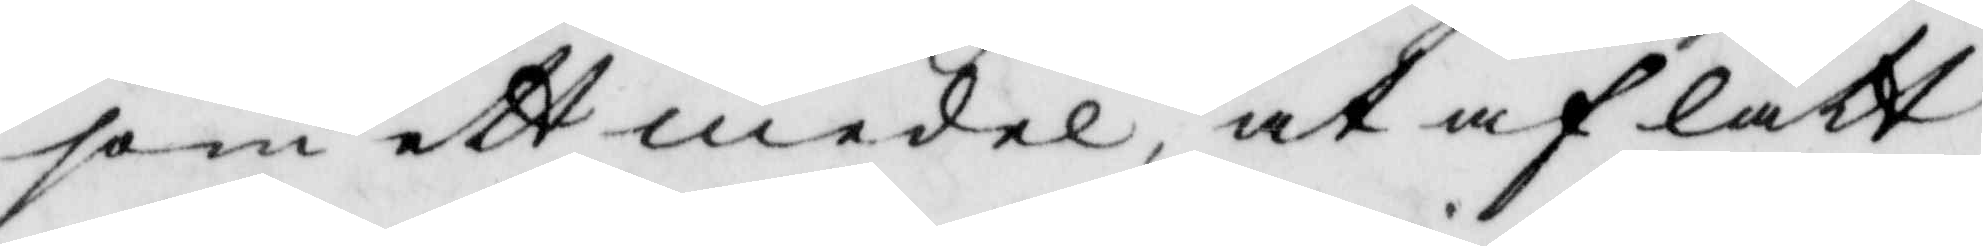som ett medel, at af lätt¬
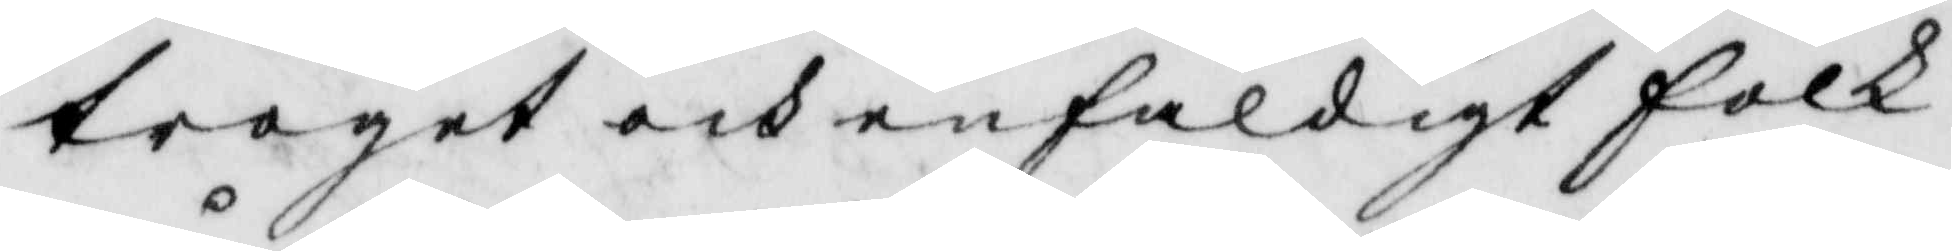troget och enfaldigt folk
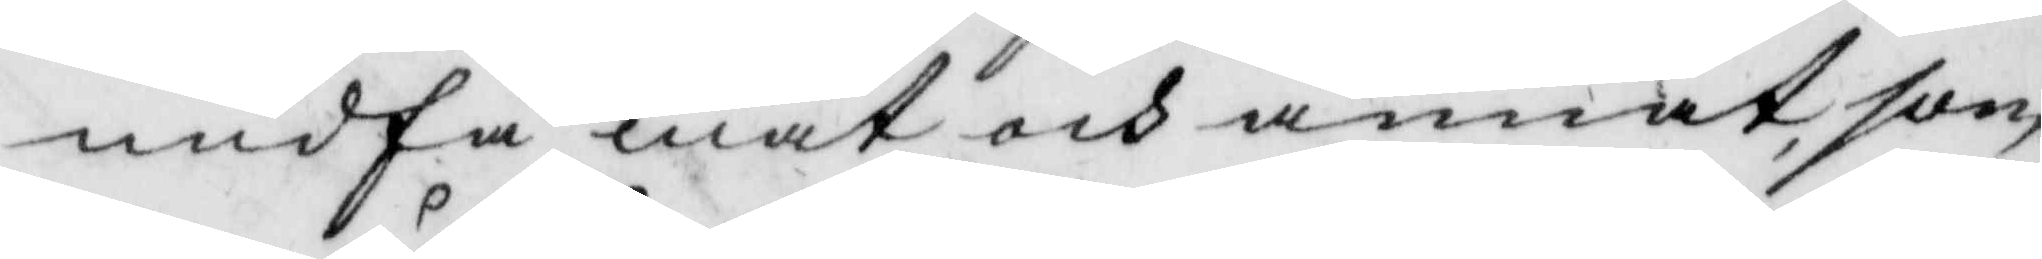undfå mat och annat, som
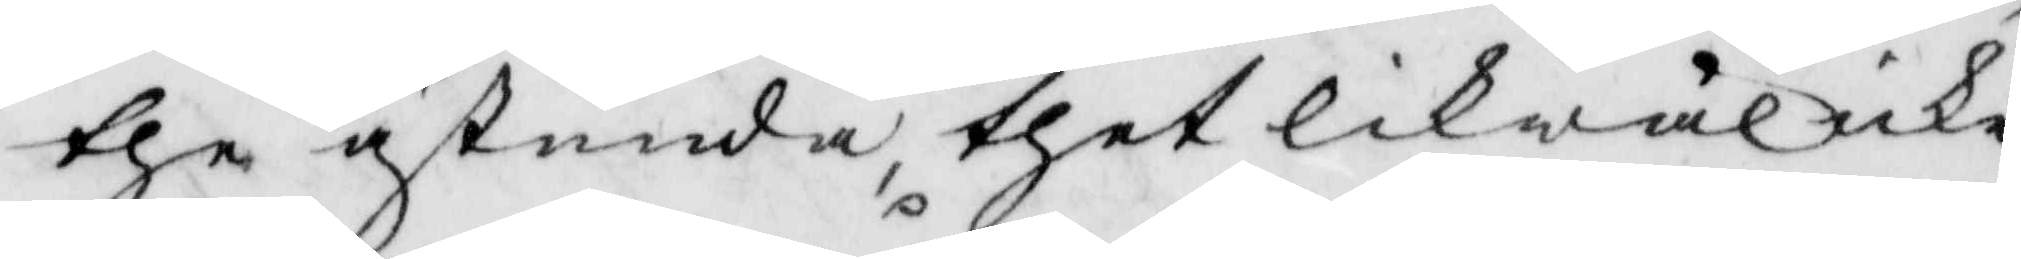the åstunda, thet likwäl icke
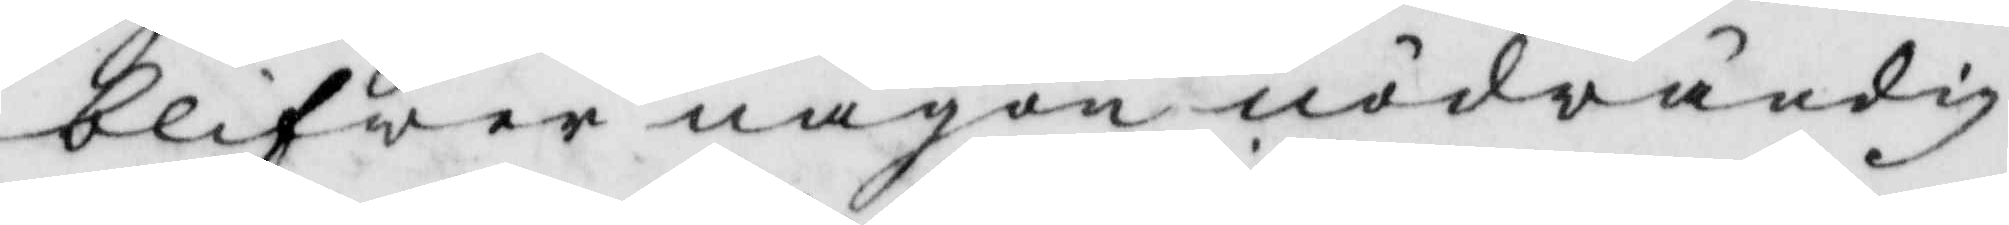vlifwer någon nödwändig
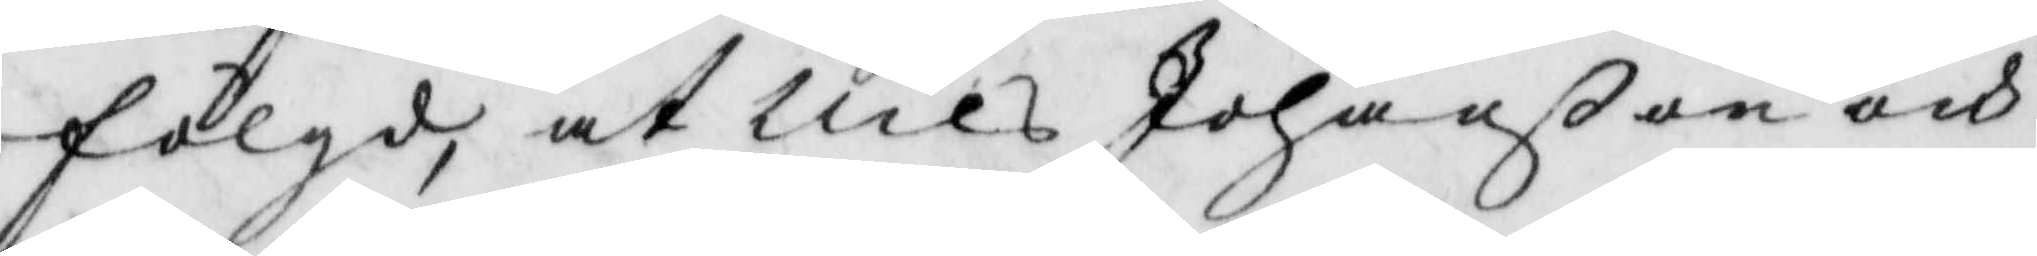fölgd, at Nils Johanßon och
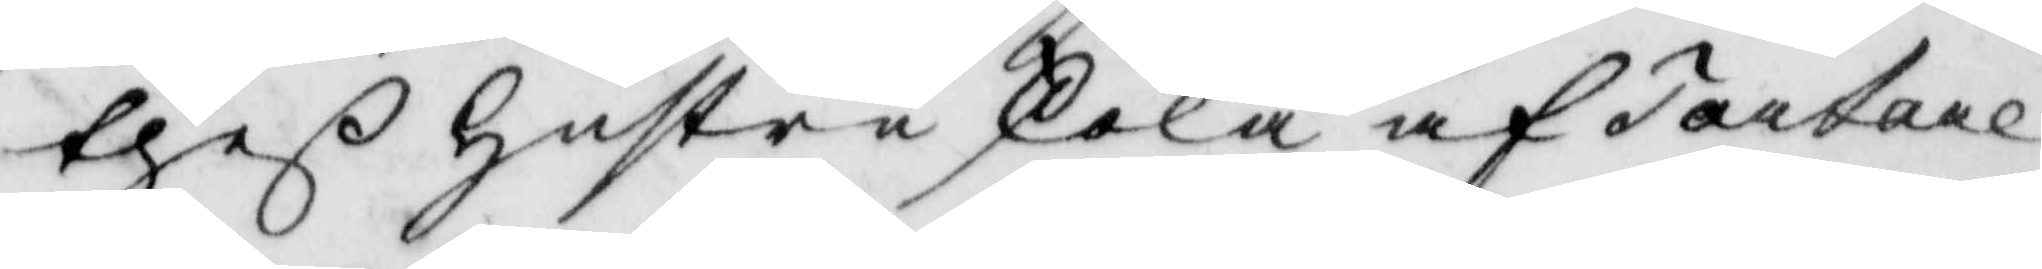theß hustru skola af Tartare
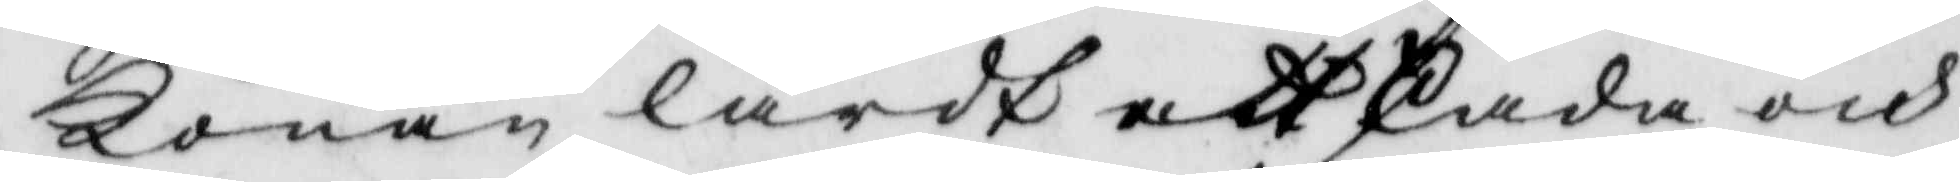Konan lärdt att skada och
